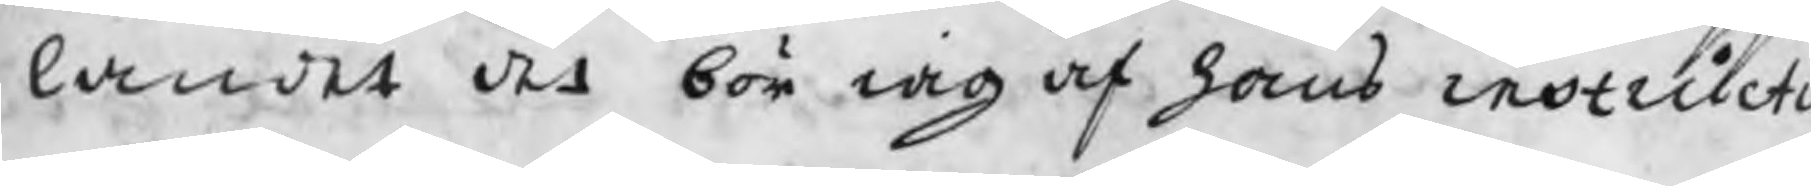landet det bör iag af hans instructi
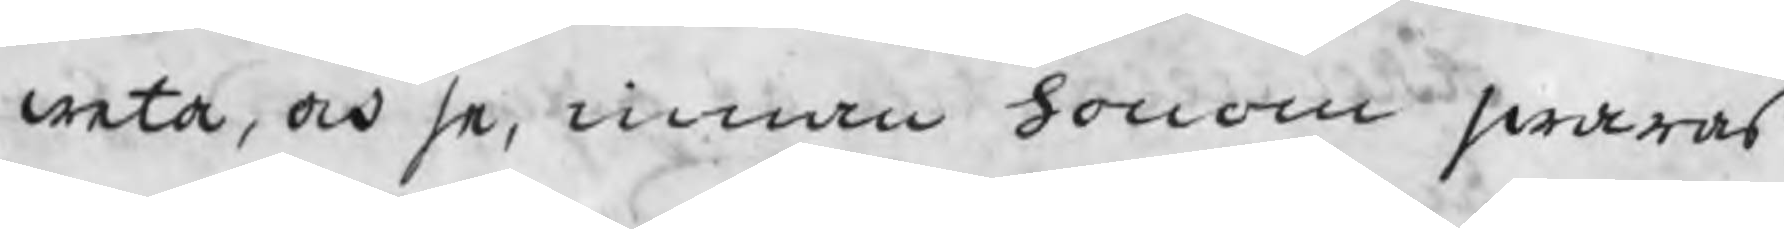weta, och se, innan honom swaras
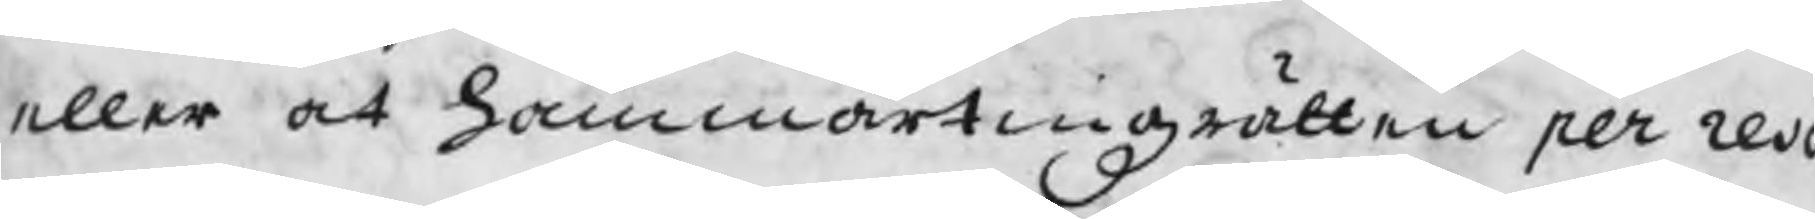eller at hammartingzrätten per reso
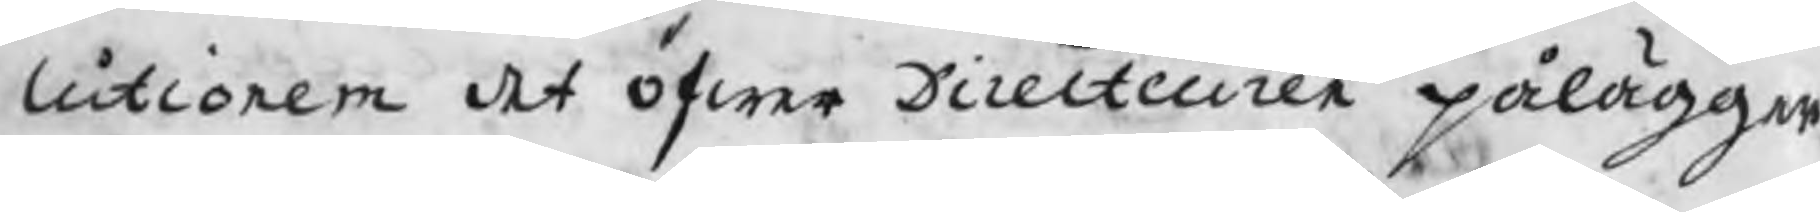lutionem det öfwer Directeuren pålägger
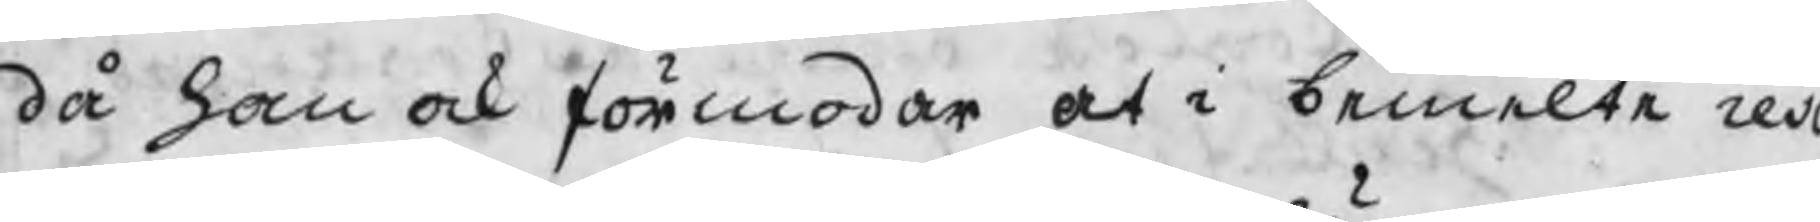då han ock förmodar at i bemelte reso
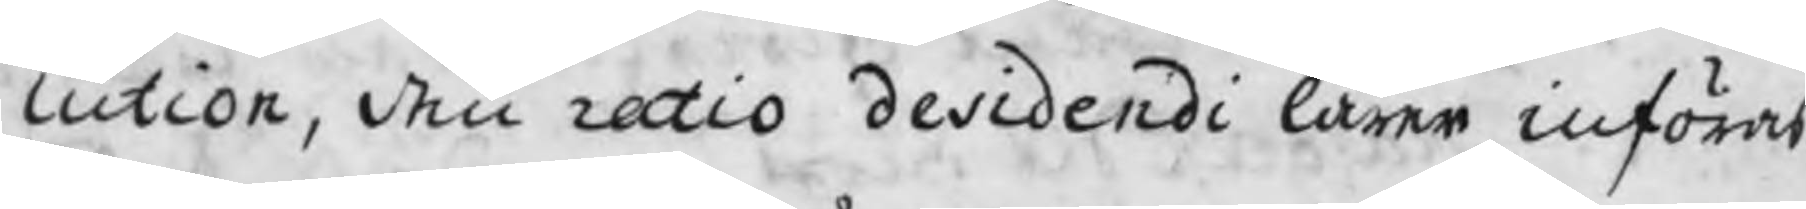lution, den ratio desidendi lärer införas
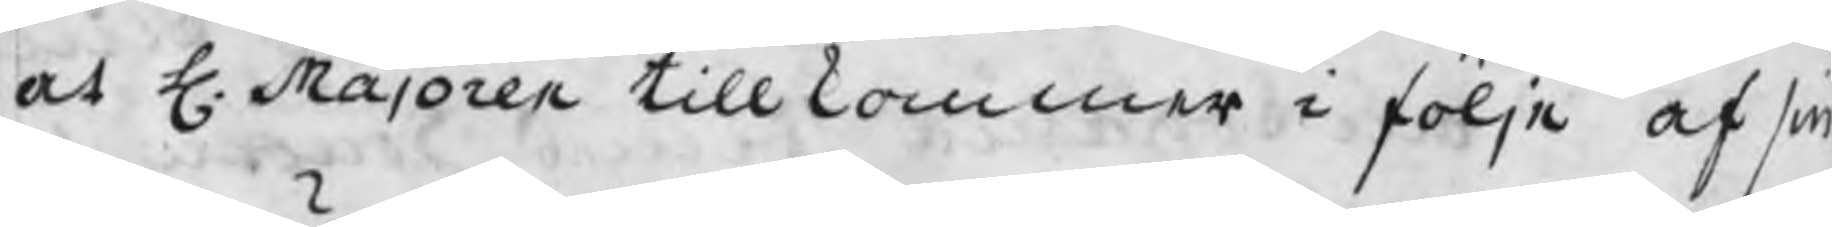at H. Majoren tillkommer i följe af sin
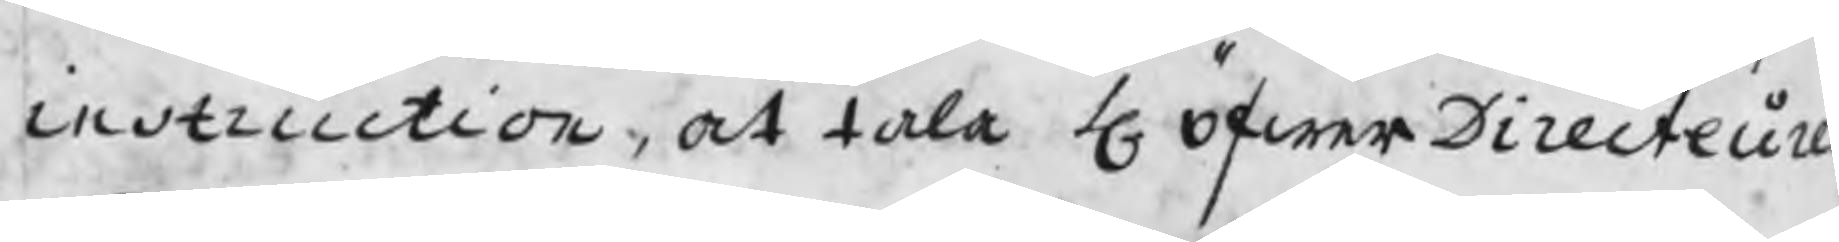instruction, at tala H. Öfwer Directeur
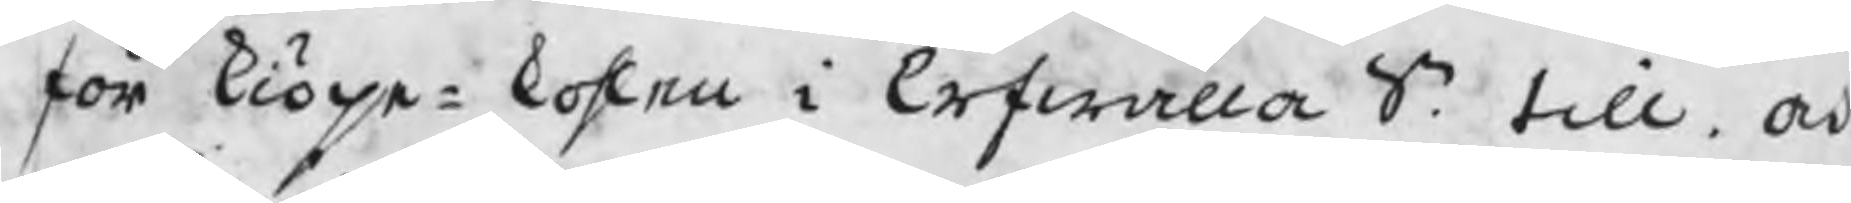för kiöpe¬kohlen i Erfwalla Sn. till, och
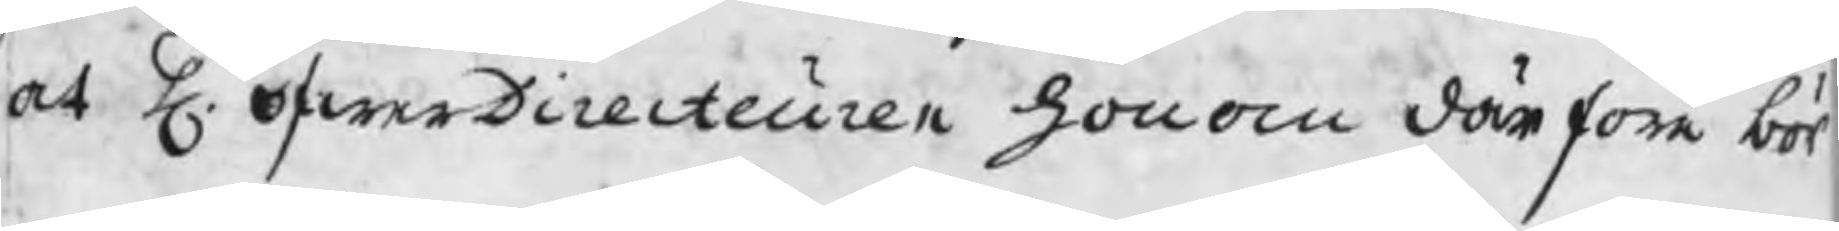at H. öfwerDirecteuren honom därföre bör
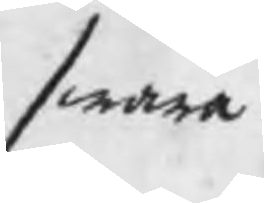swara
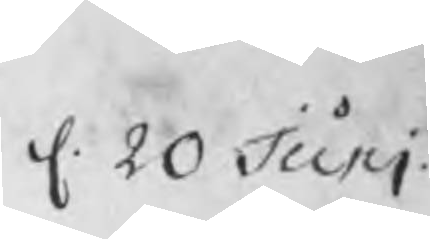d. 20 Juni
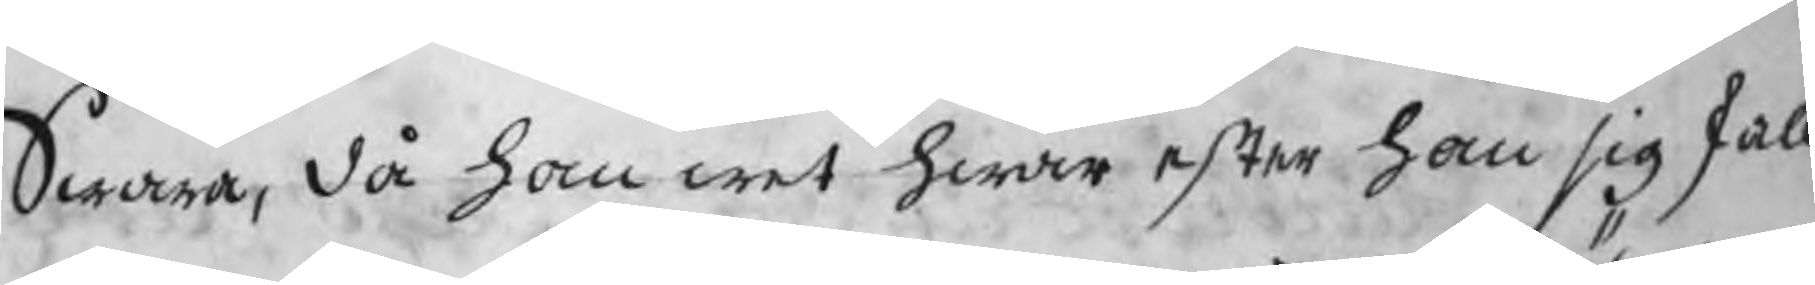Swara, då han wet hwar efter han sig skall
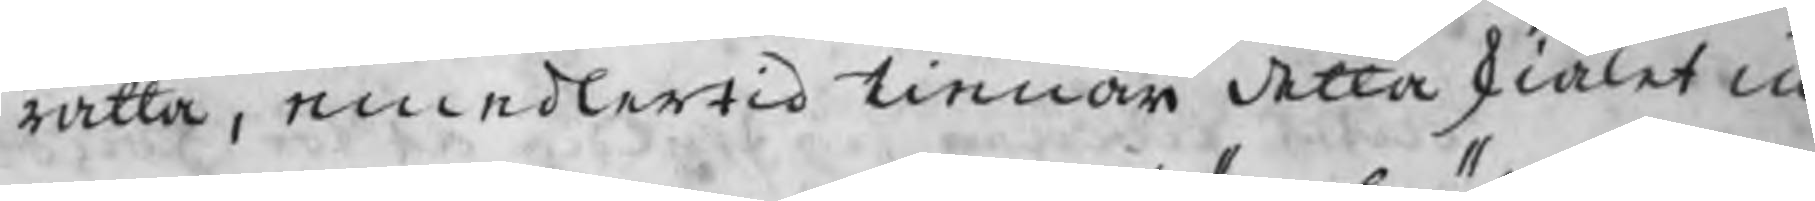rätta, emedlertid tienar detta skiälet in 
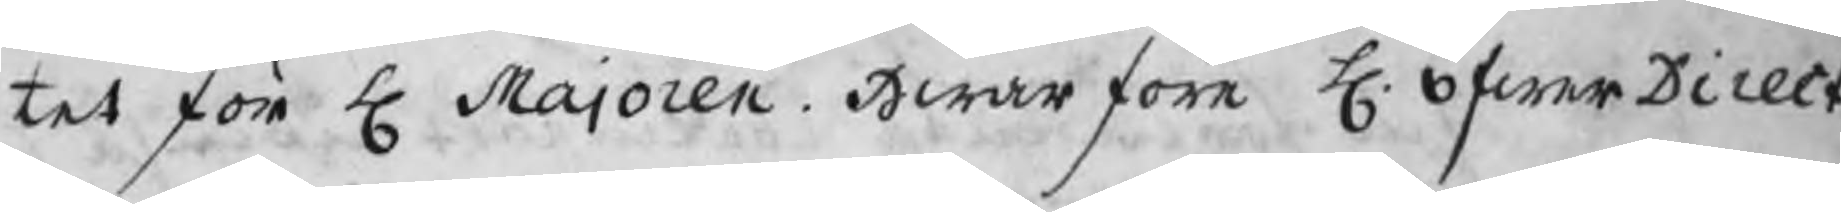tet för H. Majoren. Hwarföre H. öfwer Direct.
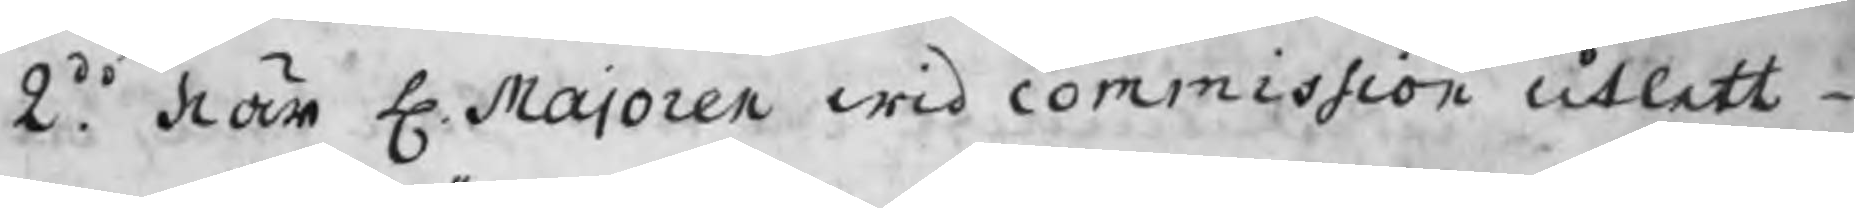2do. När H Majoren wid commission utlett
